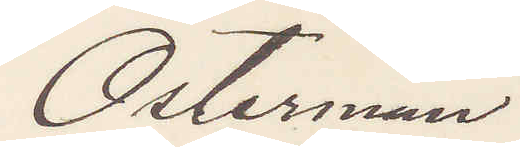Österman
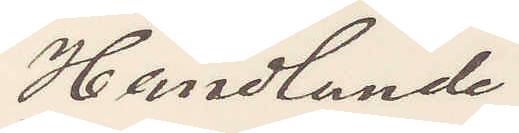Handlande
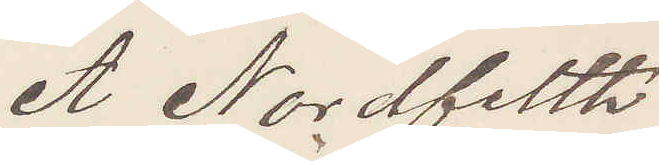A. Nordfelth
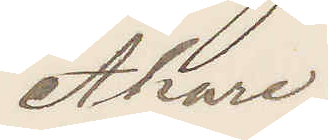Åkare
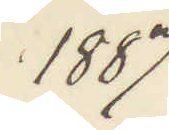1887
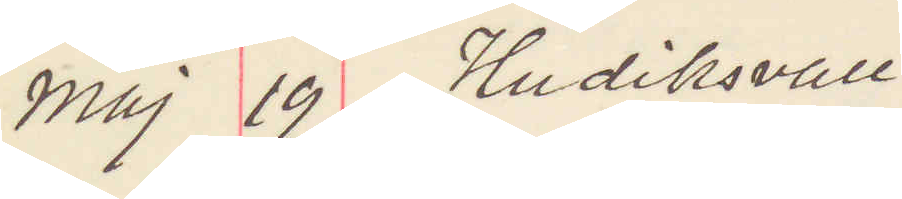Maj 19 Hudiksvall
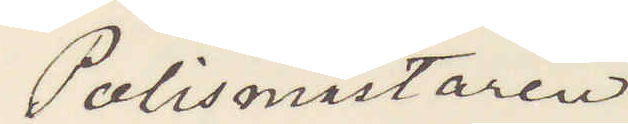Polismästaren
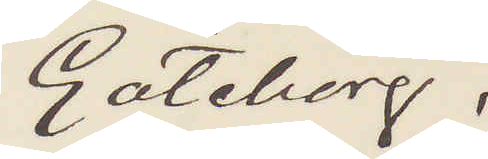Göteborg.
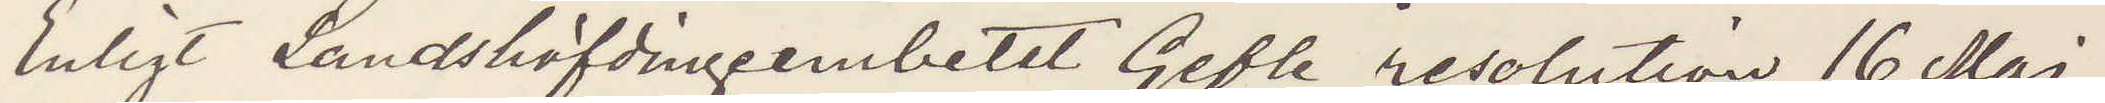Enligt Landshöfdingembetet Gefle resolution 16 Maj,
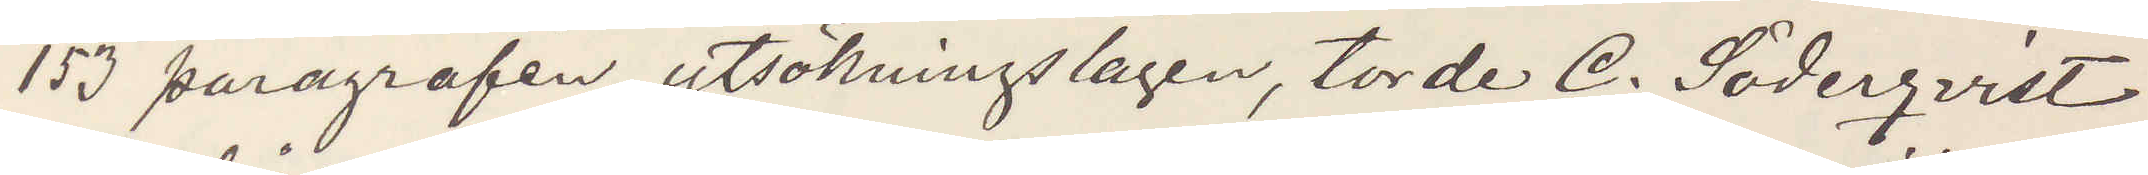153 paragrafen utsökningslagen, torde C. Söderqvist
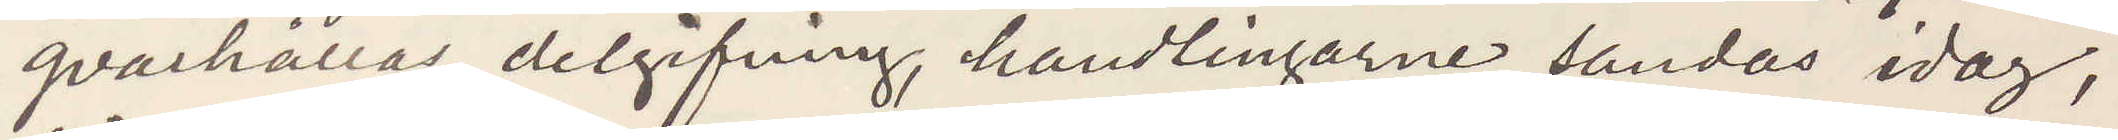qvarhållas delgifning, handlingarne sändas idag,
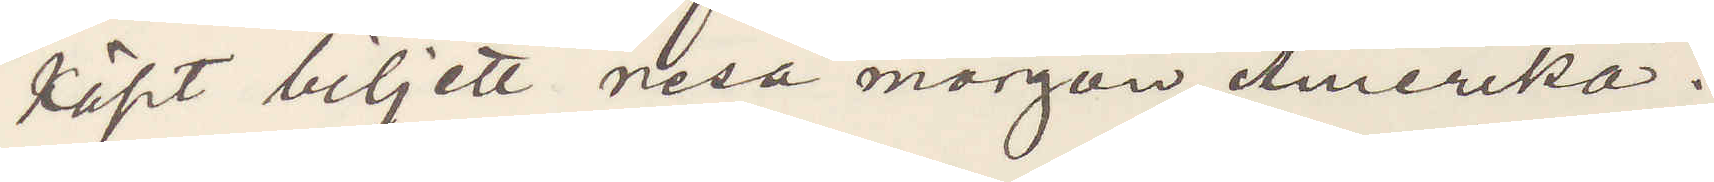köpt biljett resa morgon Amerika.
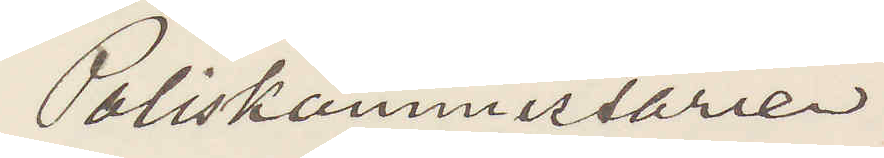Poliskommissarien
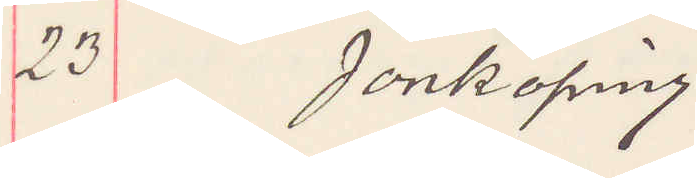23 Jönköping
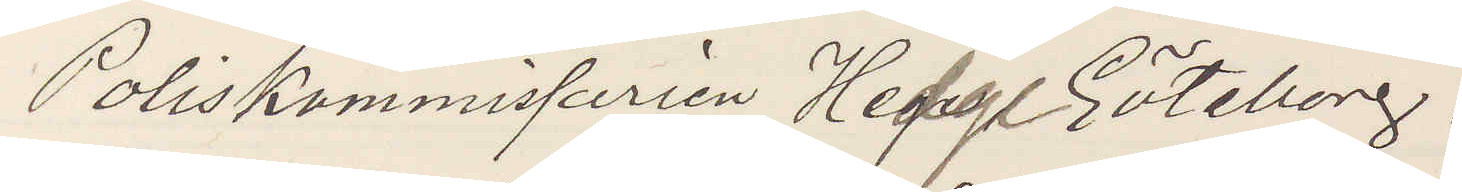Poliskommissarien Hedge. Göteborg.
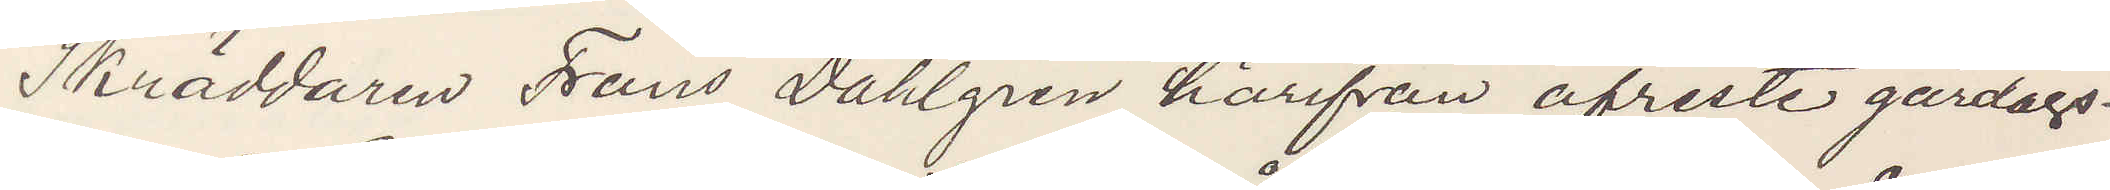Skräddaren Frans Dahlgren härifrån afreste gårdags¬
